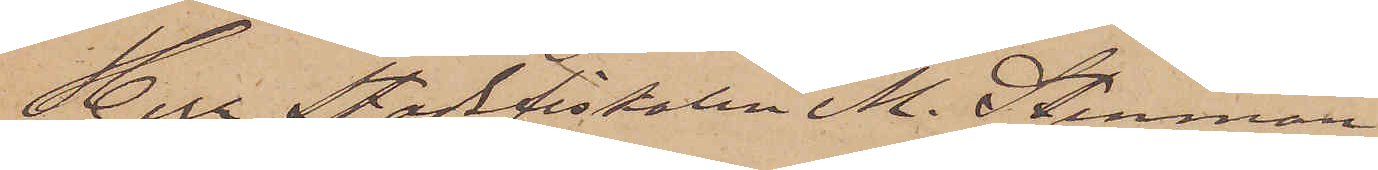Herr Stadsfiskalen M. Stenman
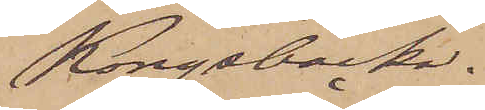Kongsbacka.
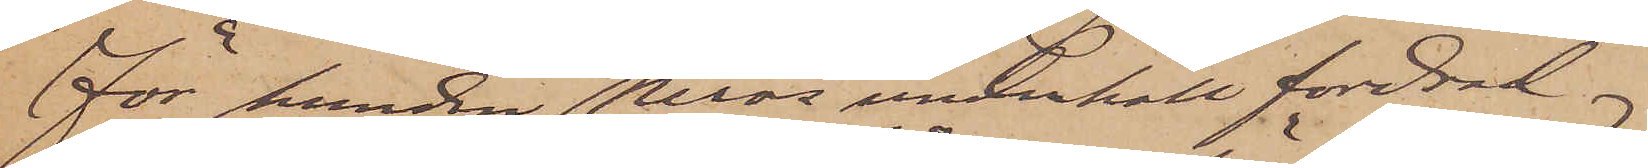För hunden Neros underhåll fordrad
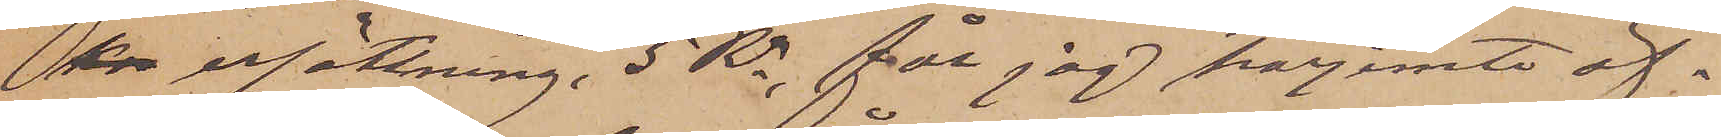kon ersättning, 5 Rr, får jag härjemte öf¬
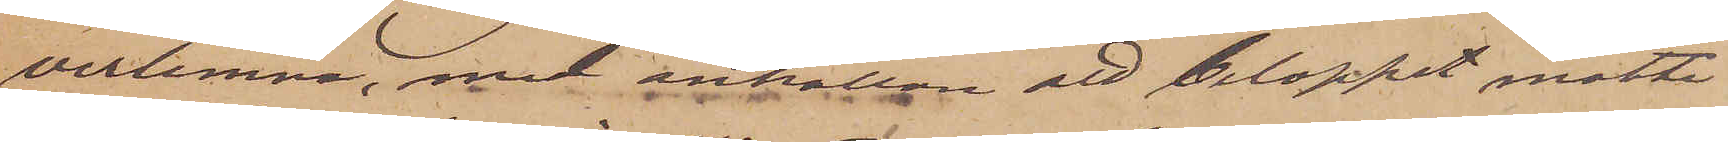verlemna, med anhållan att beloppet måtte
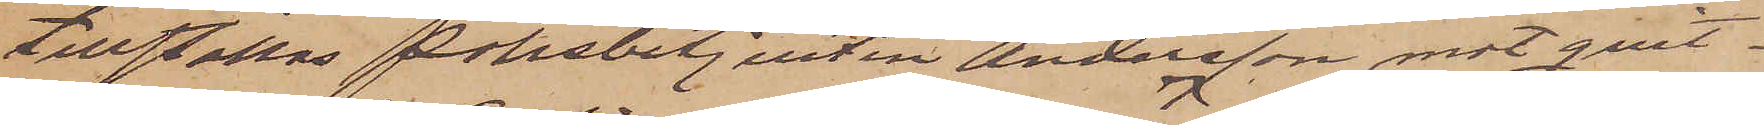tillställas polisbetjenten Andersson mot qvit¬
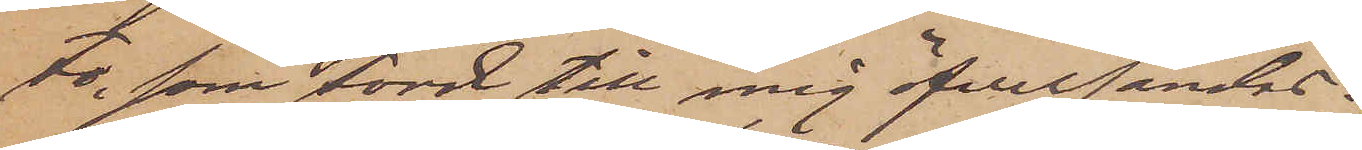to, som torde till mig öfversändas.
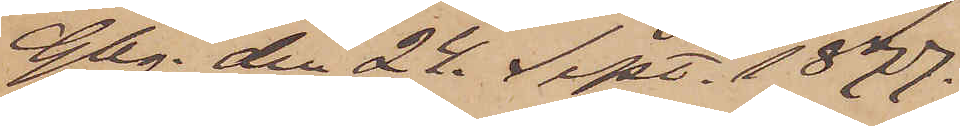Gbg den 24. Sept. 1877.
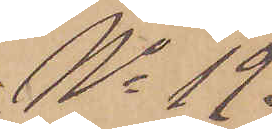No 19.
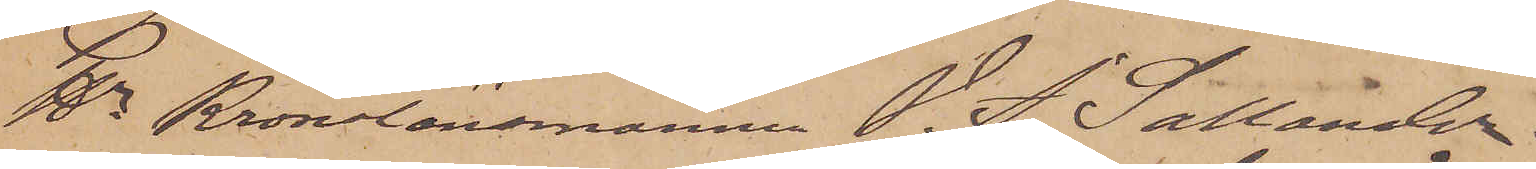Hr Kronolänsmannen V. J. Sallander
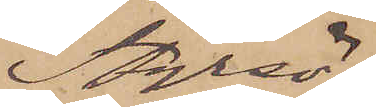Styrsö.
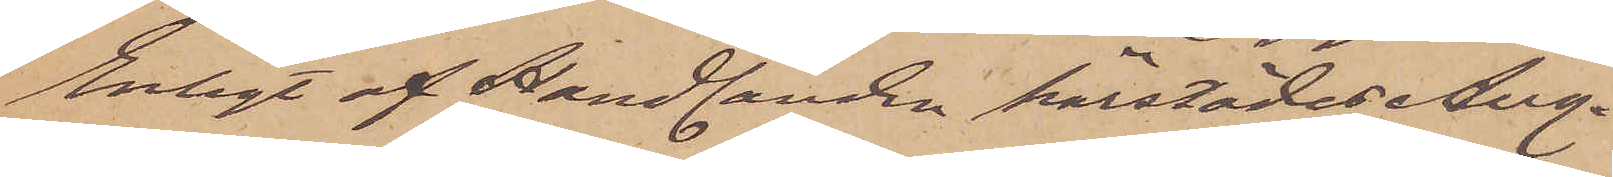Enligt af Handlanden härstädes Aug.
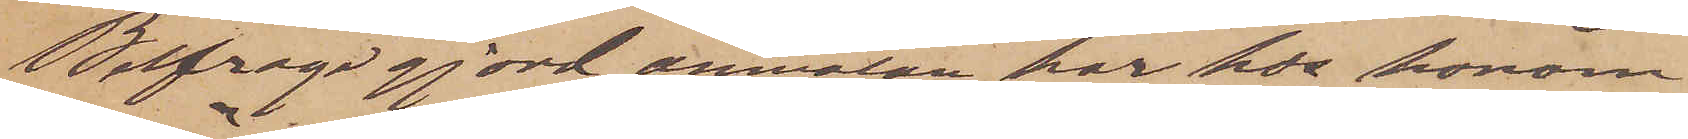Belfrage gjord anmälan har hos honom
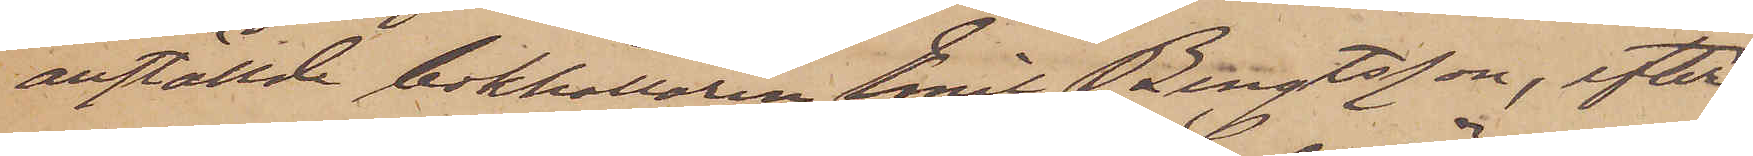anställde bokhållaren Emil Bengtsson, efter
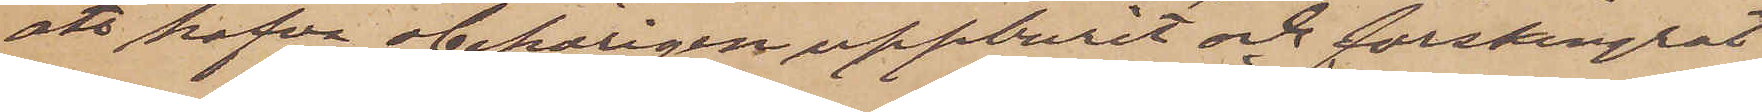att hafva obehörligen uppburit och förskingrat
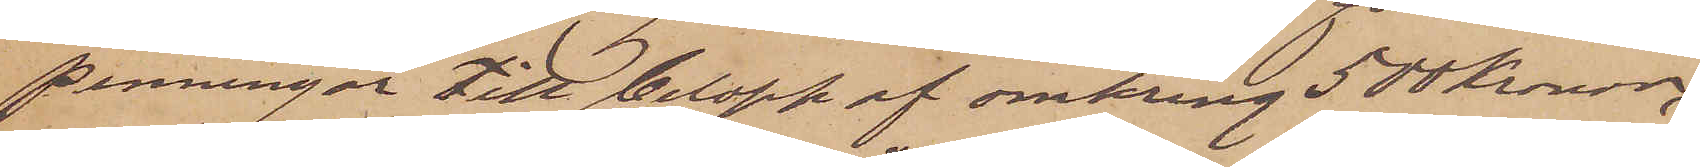penningar till belopp af omkring 500 Kronor,
